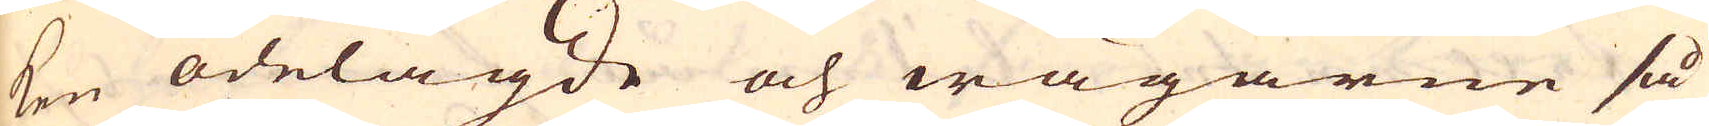ken ödelagde och wägarne så
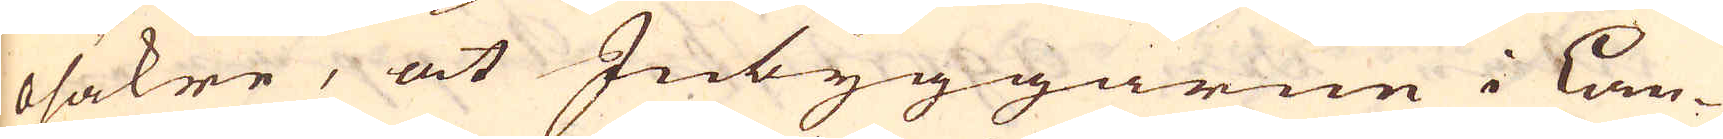osäkre, at Inbyggarne i Lan-
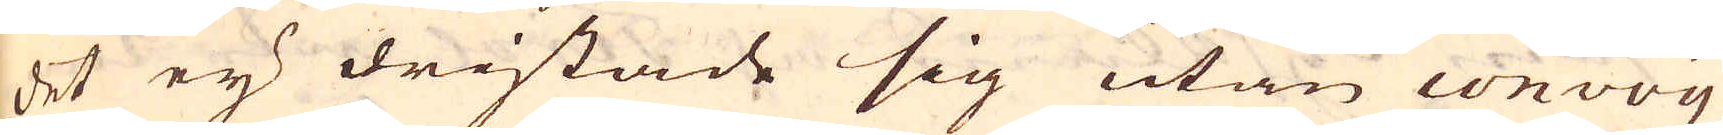det eij dristade sig utan convoy
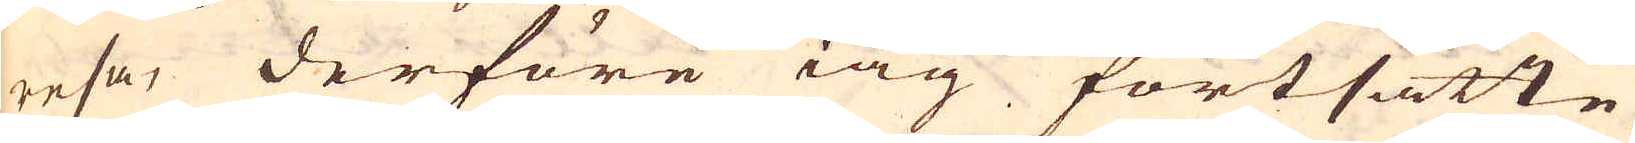resa, derföre iag fortsatte
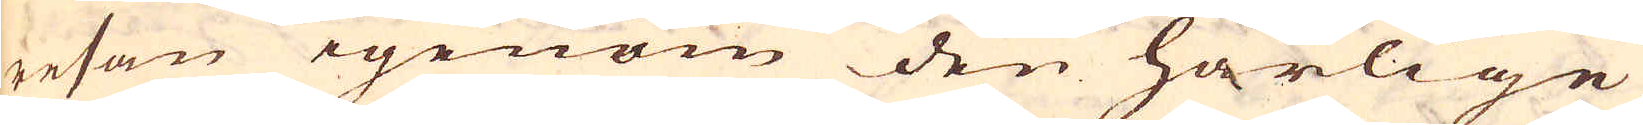resan igenom den härlige
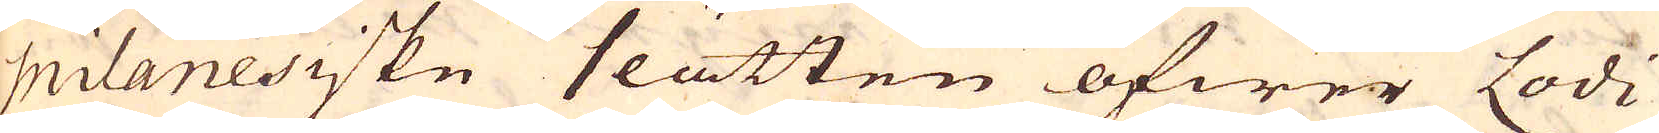Milanesiske slätten öfwer Lodi
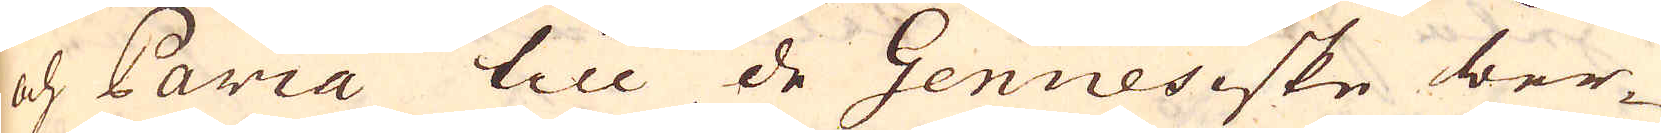och Paria till de Genuesiske ber-
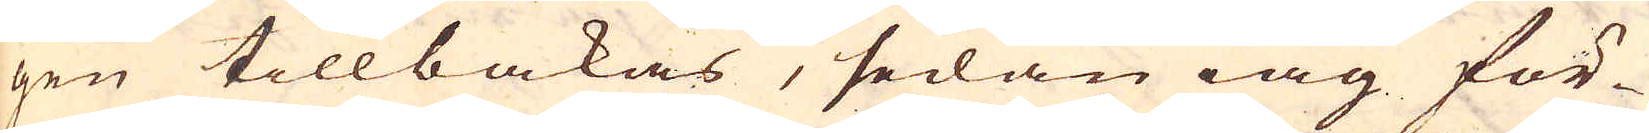gen tillbakas, sedan iag för-
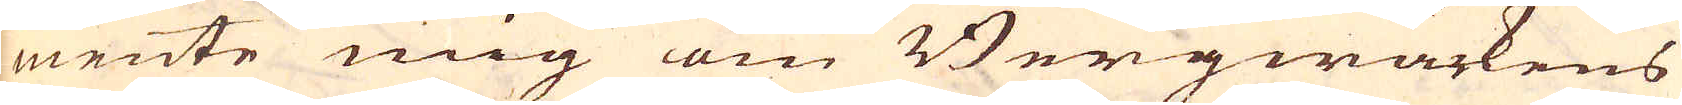mente mig om Bergwärkens
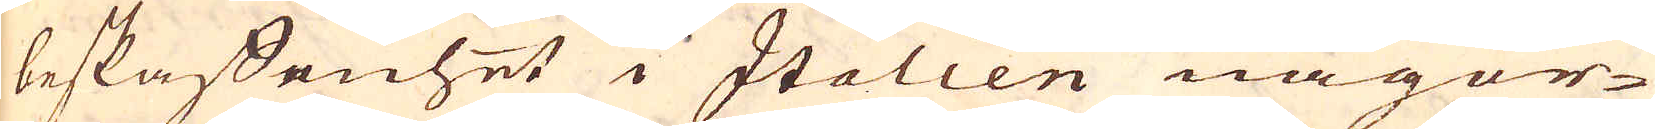beskaffenhet i Italien någor-
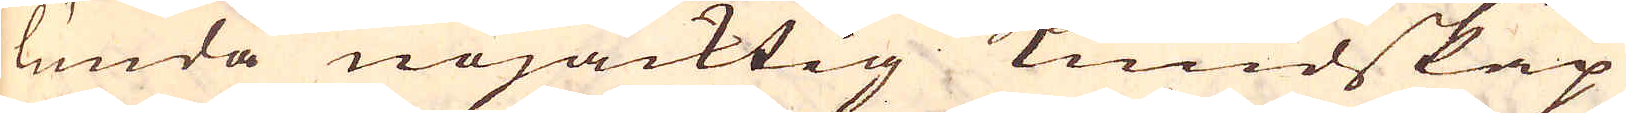lunda nöjacktig kundskap
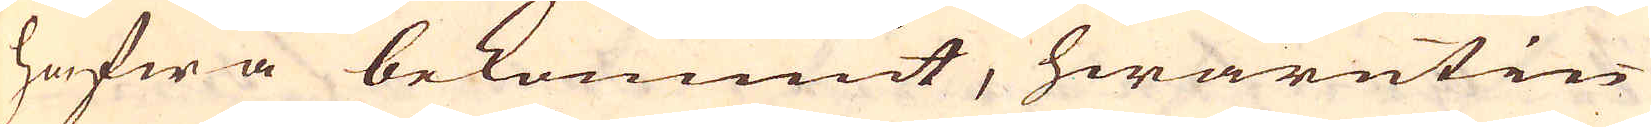hafwa bekommit, hwarutin-
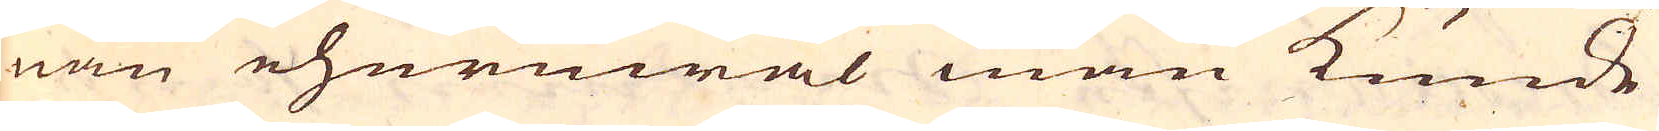nan ehuruwäl man kunde
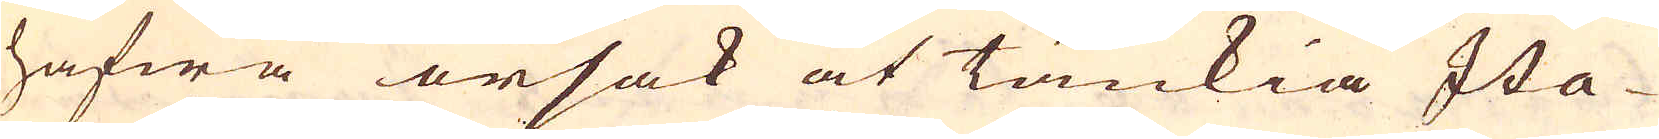hafwa orsak at tänkia Ita-
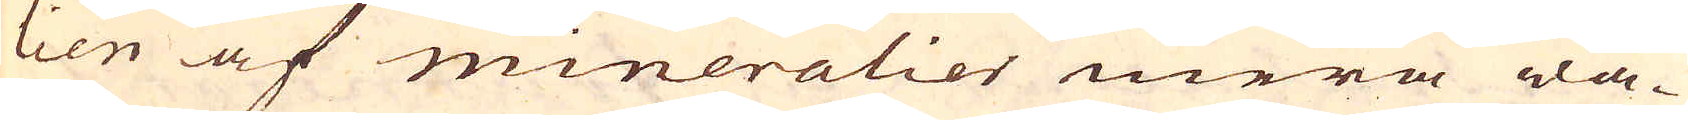lien af mineralier mera wa-
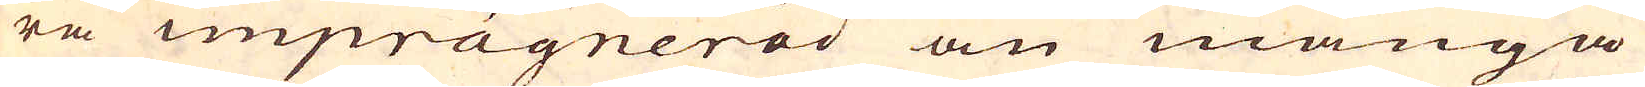ra imprägnerad än många
